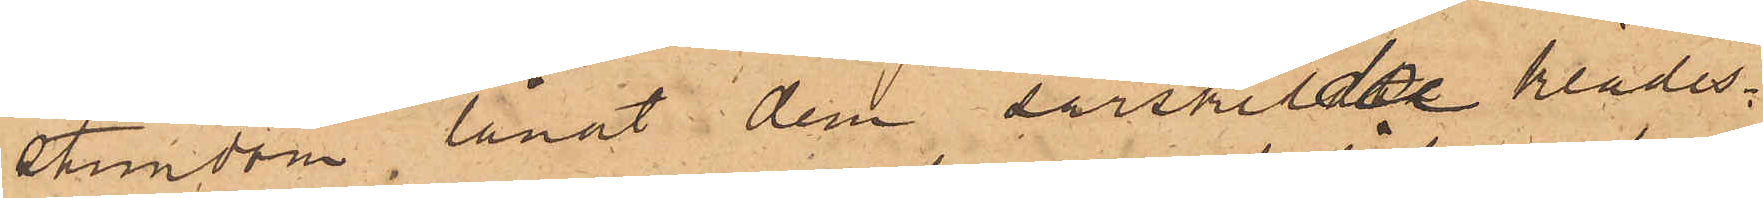stundom lånat dem särskilde klädes¬
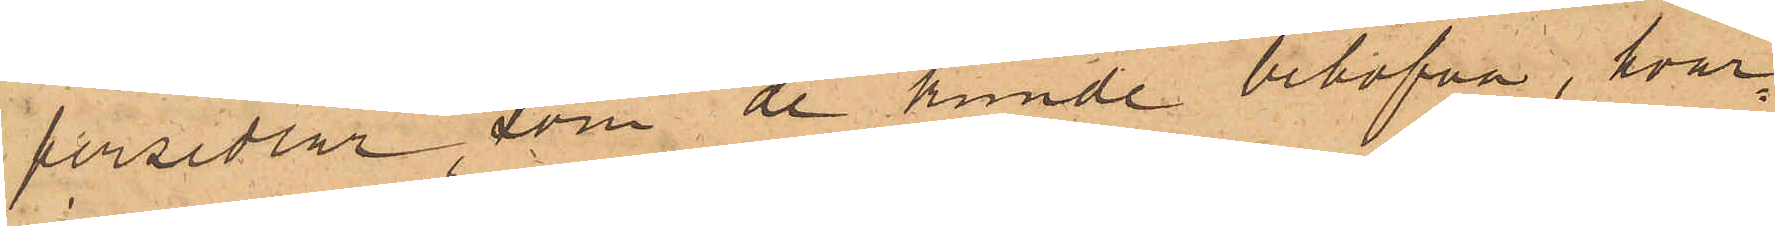persedlar, som de kunde behöfva, hvar¬
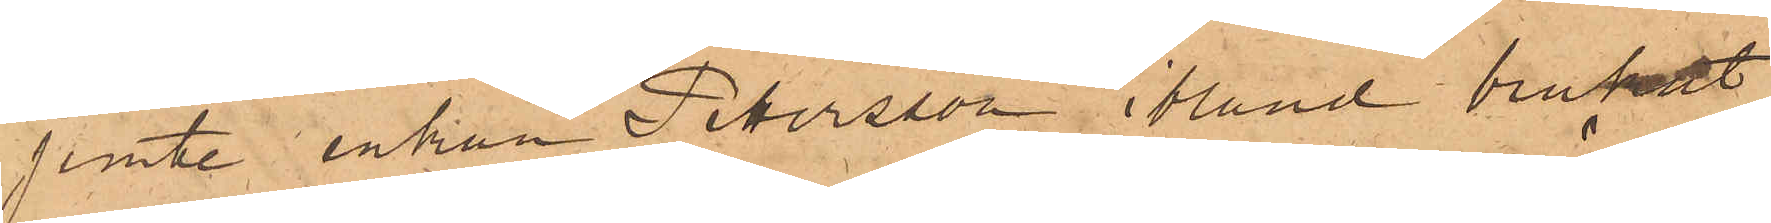jemte enkan Petersson, ibland brukat
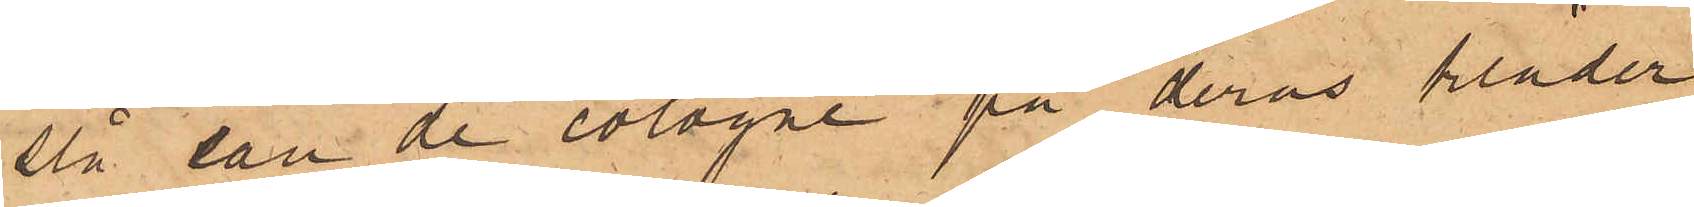slå eau de cologne på deras kläder
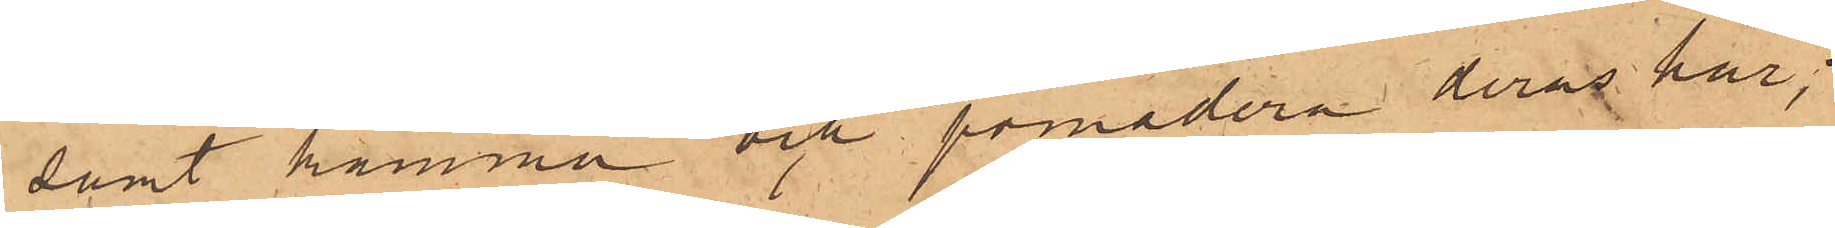samt kamma och pomadera deras hår;
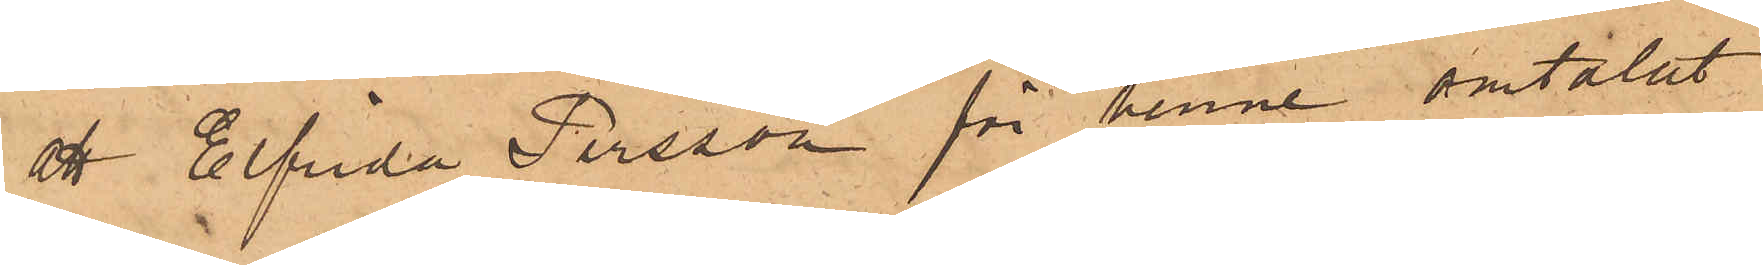att Elfrida Persson för henne omtalat
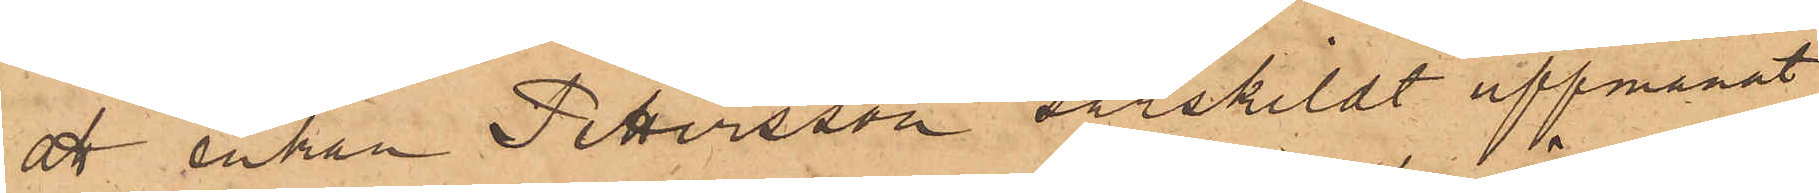att Enkan Pettersson särskildt uppmanat
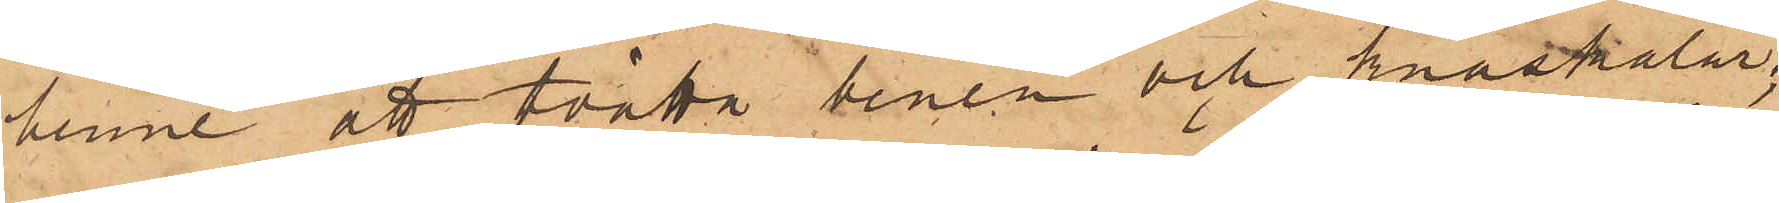henne att tvätta benen och knäskålar;
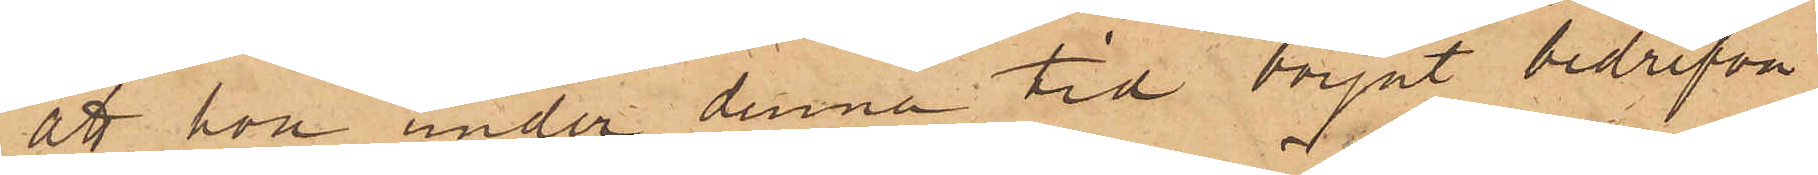att hon under denna tid börjat bedrifva
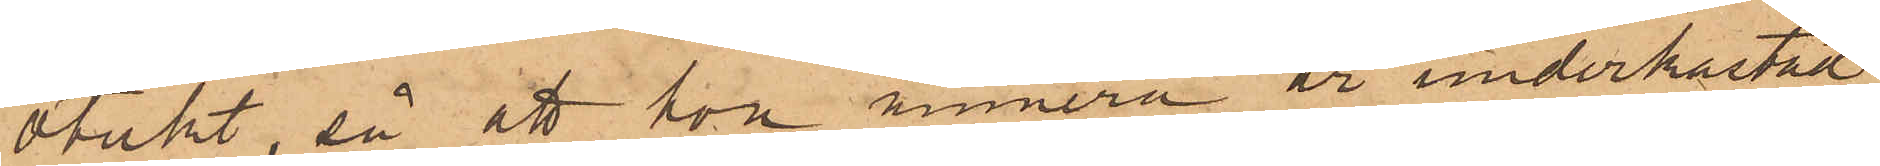otukt, så att hon numera är underkastad
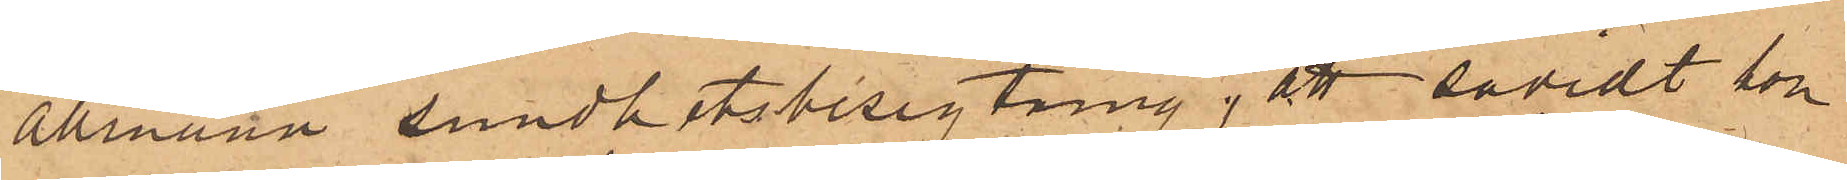allmänn sundhetsbesigtning, att såvidt hon
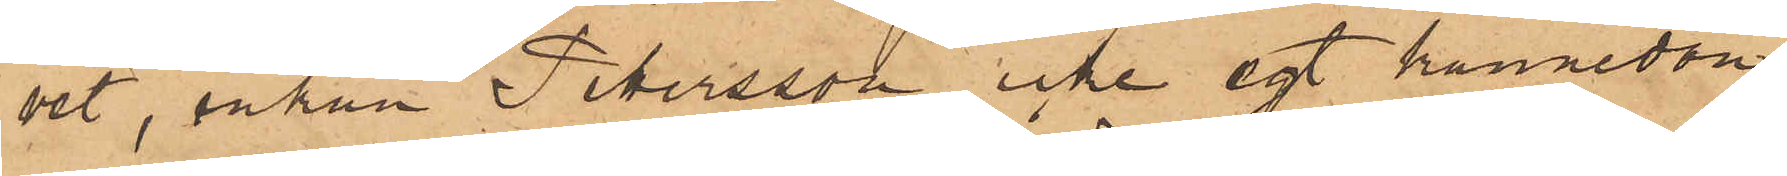vet, enkan Petersson icke egt kännedom
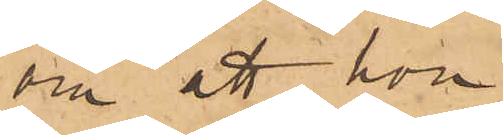om att hon
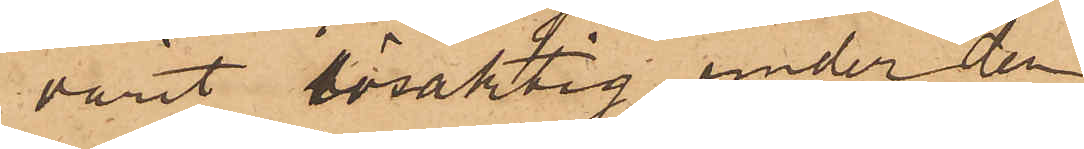varit lösaktig, under den
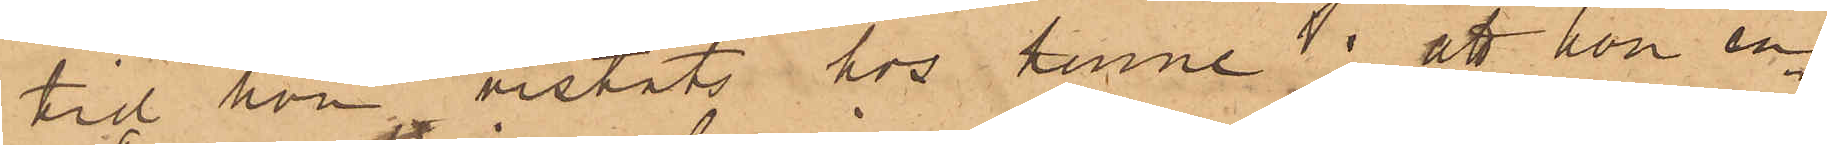tid hon vistats hos henne; att hon en
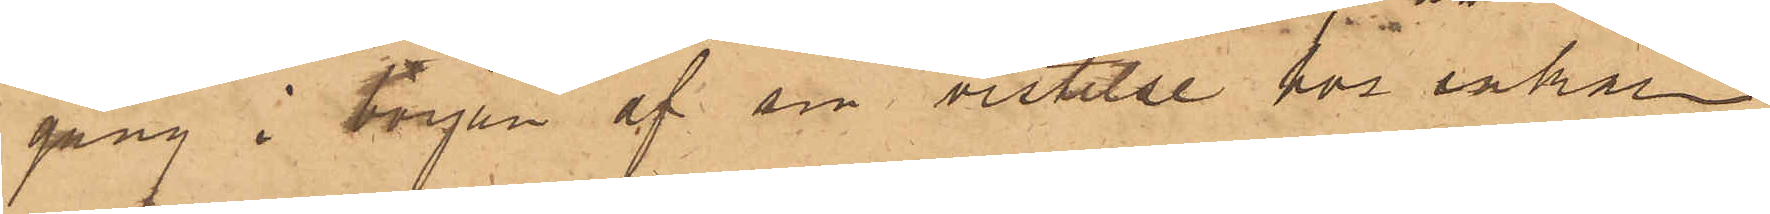gång i början af sin vistelse för enkan
